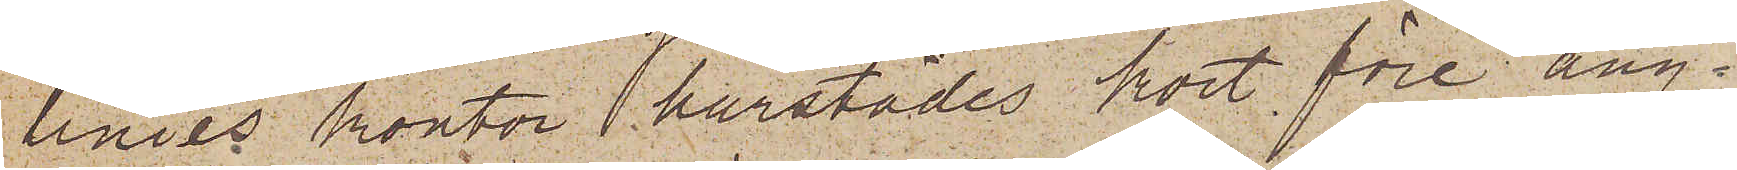linies kontor härstädes kort före ång¬
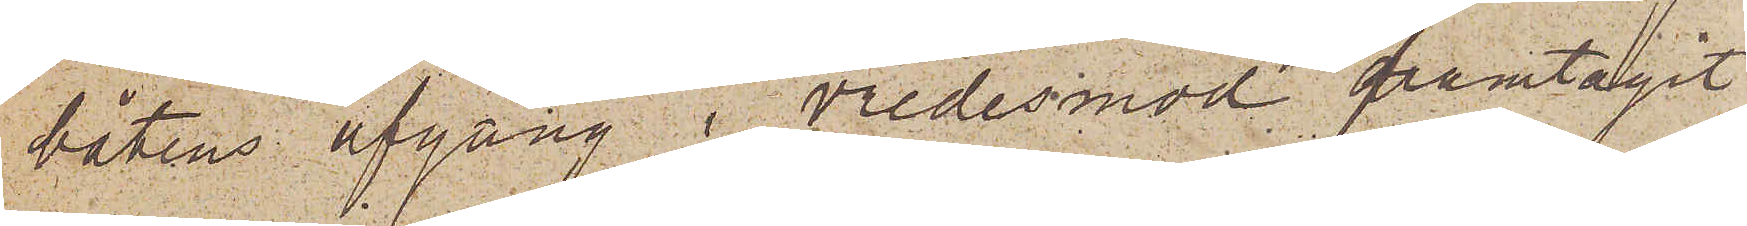båtens afgång i vredesmod framtagit
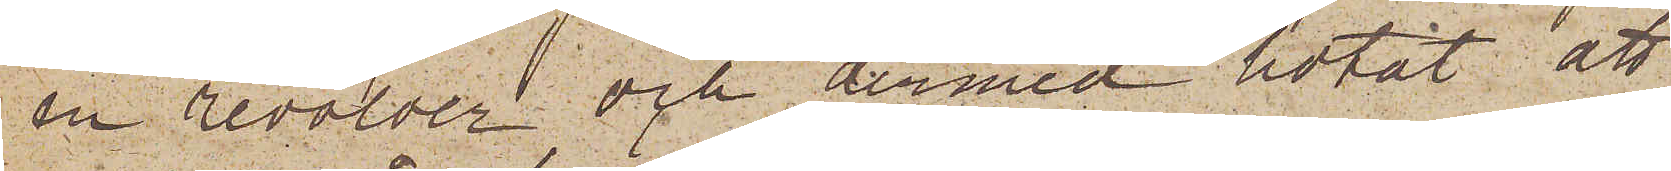en revolver och dermed hotat att
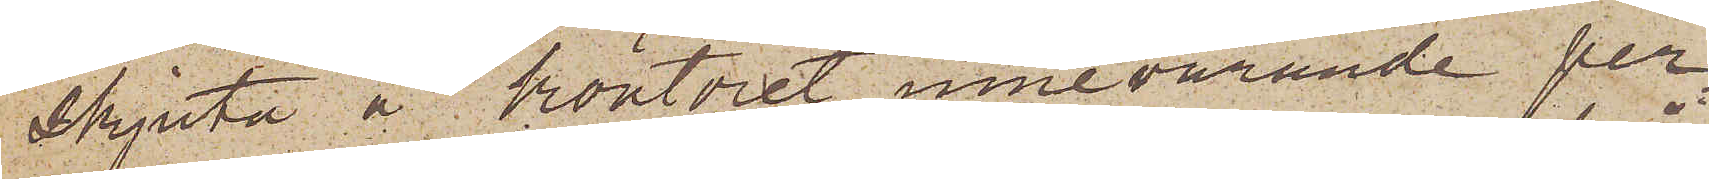skjuta å kontoret innevarande per¬
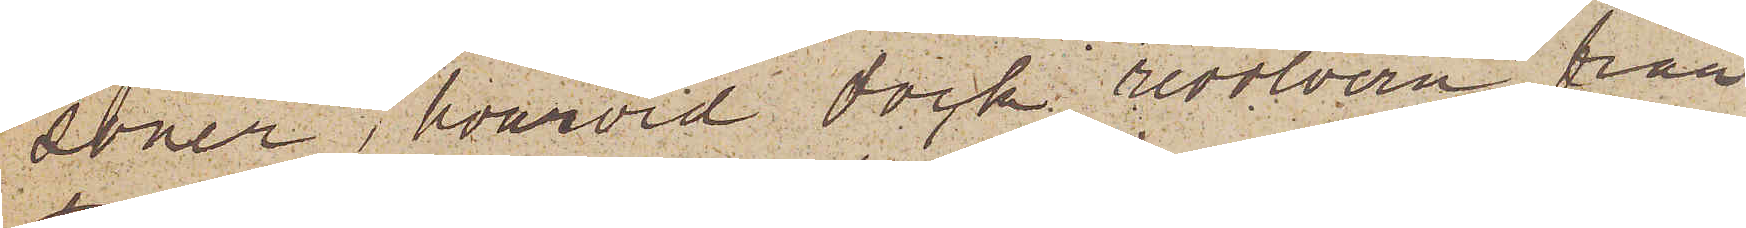soner, hvarvid dock revolvern från¬
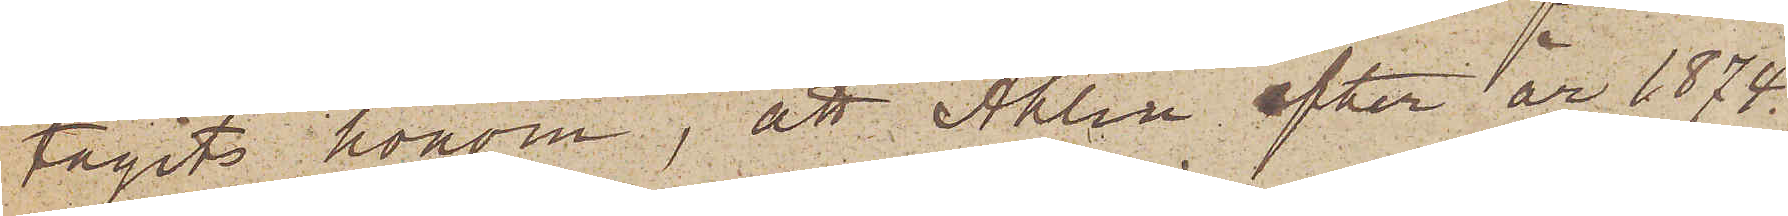tagits honom, att Ahlin efter år 1874
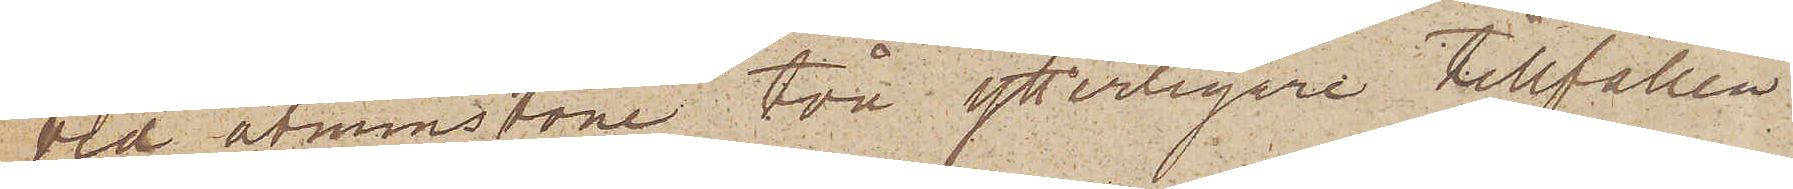vid åtminstone två ytterligare tillfällen
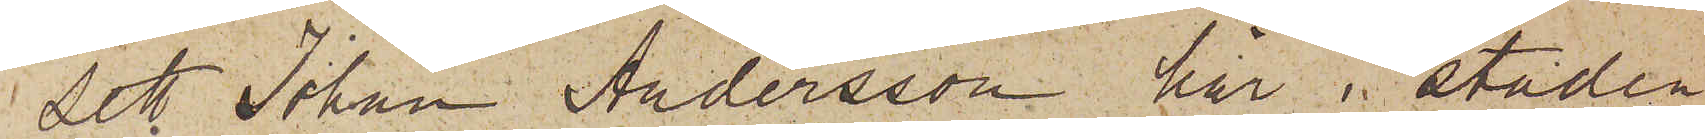sett Johan Andersson här i staden
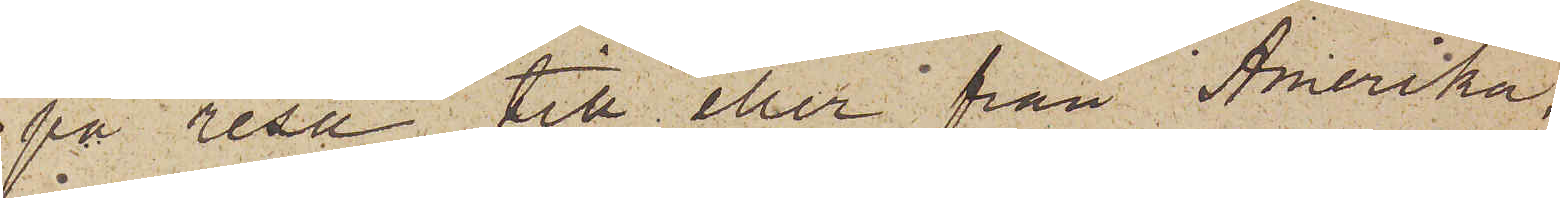på resa till eller från Amerika;
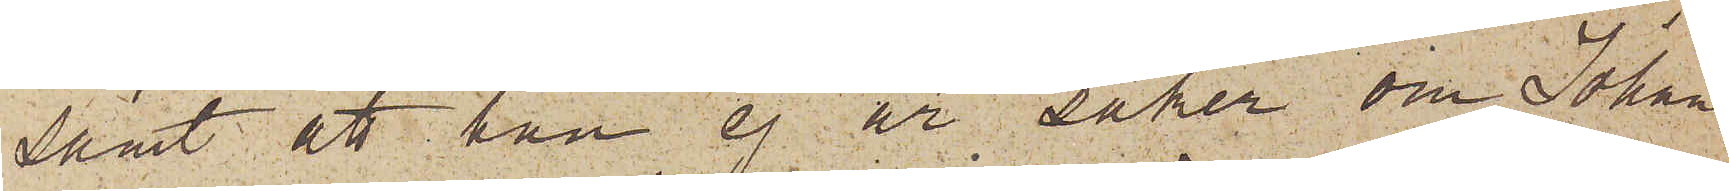samt att han ej är säker om Johan
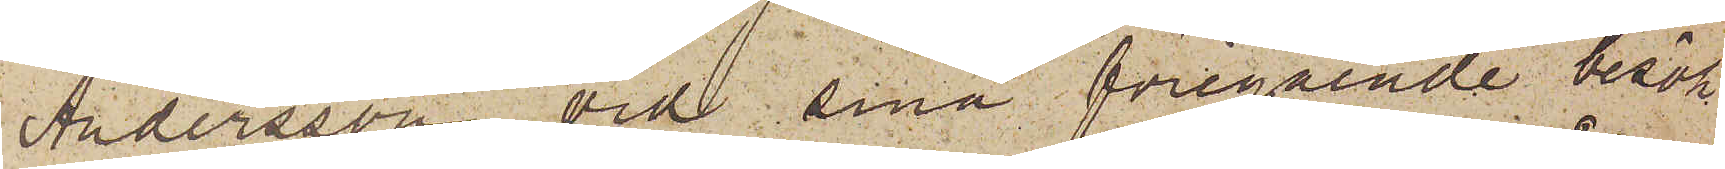Andersson vid sina föregående besök
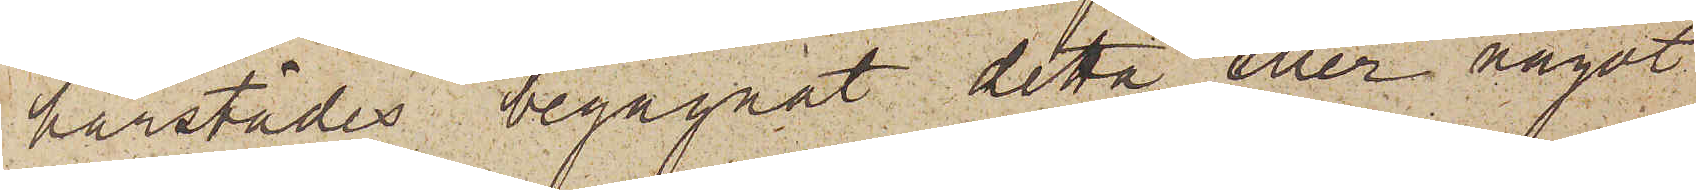härstädes begagnat detta eller något
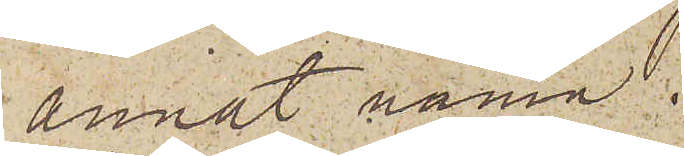annat namn.
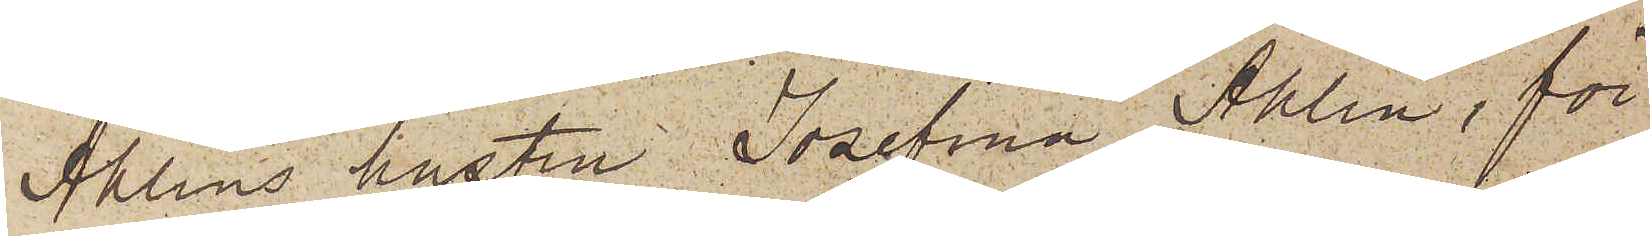Ahlins hustru Josefina Ahlin, för
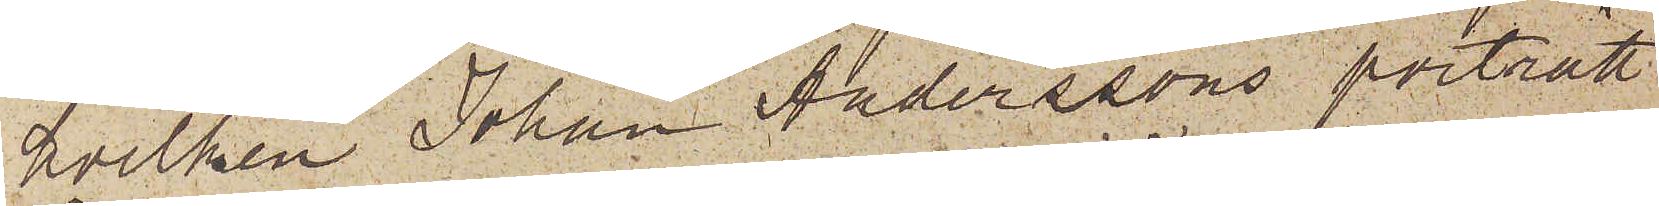hvilken Johan Anderssons porträtt
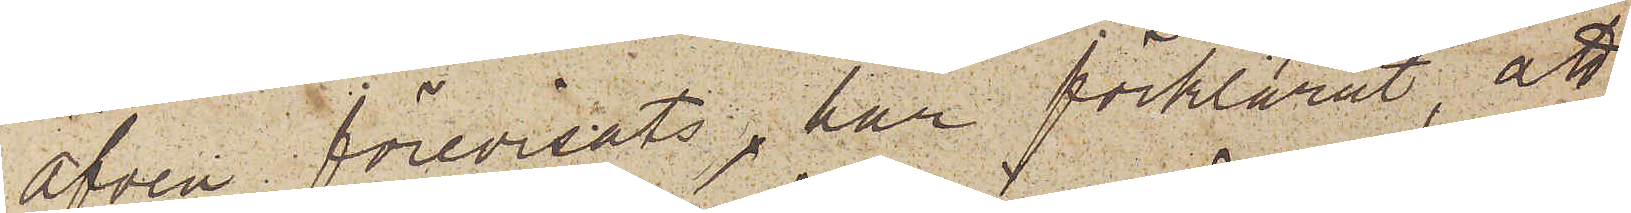äfven förevisats, har förklarat, att
